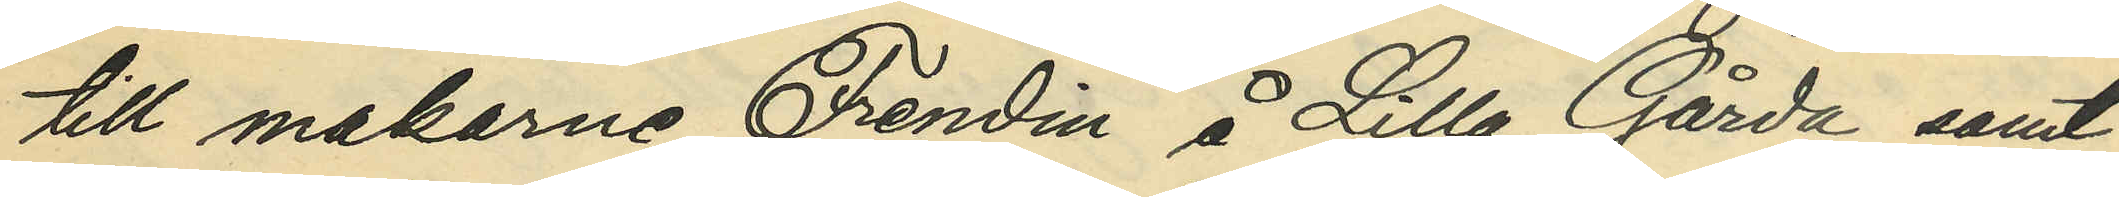till makarne Frendin å Lilla Gårda samt
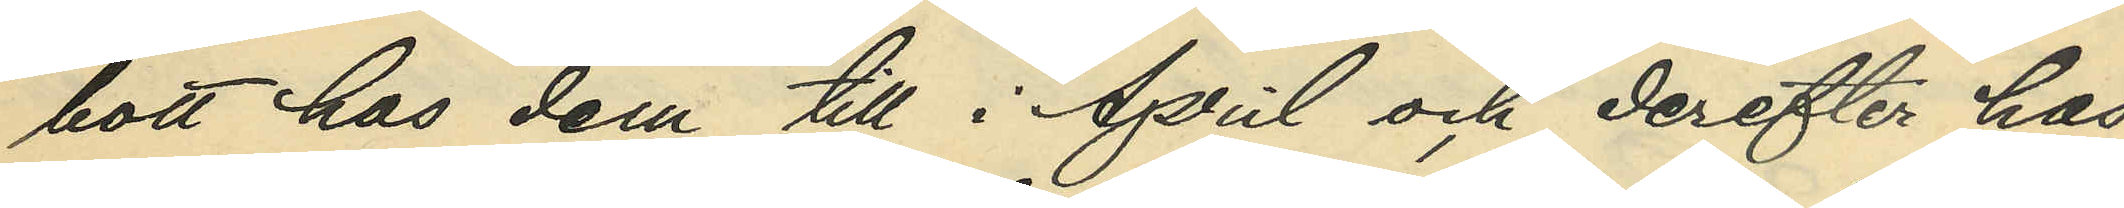bott hos dem till i April och derefter hos
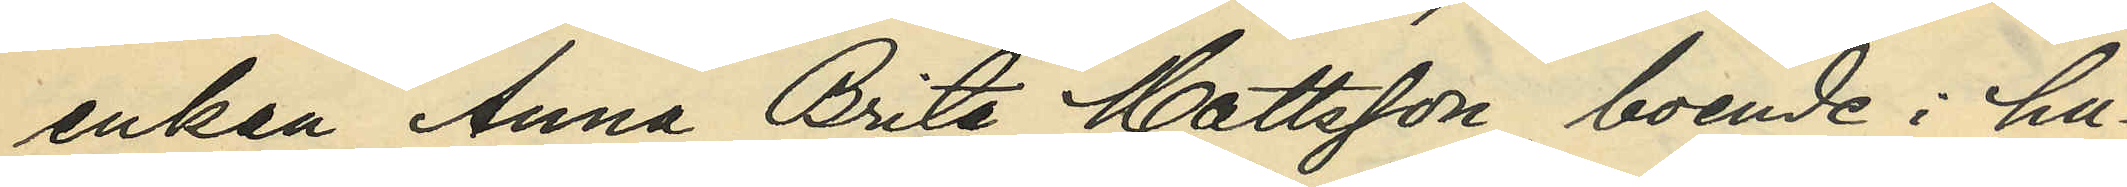enkan Anna Brita Mattsson, boende i hu¬
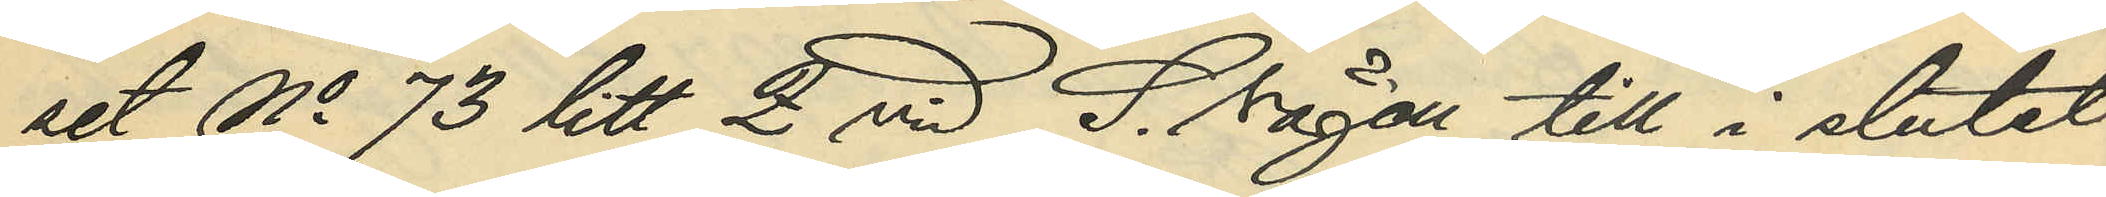set No 73 Litt. Q vid S. vägen, till i slutet
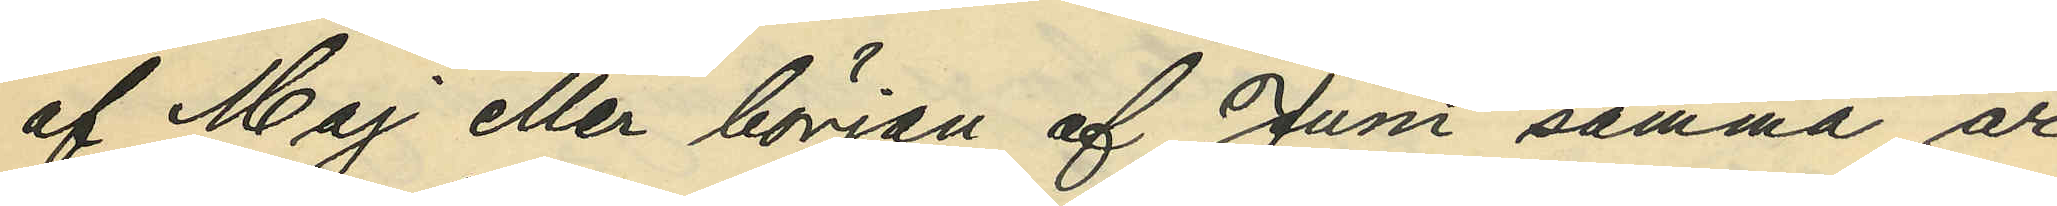af Maj eller början af Juni samma år
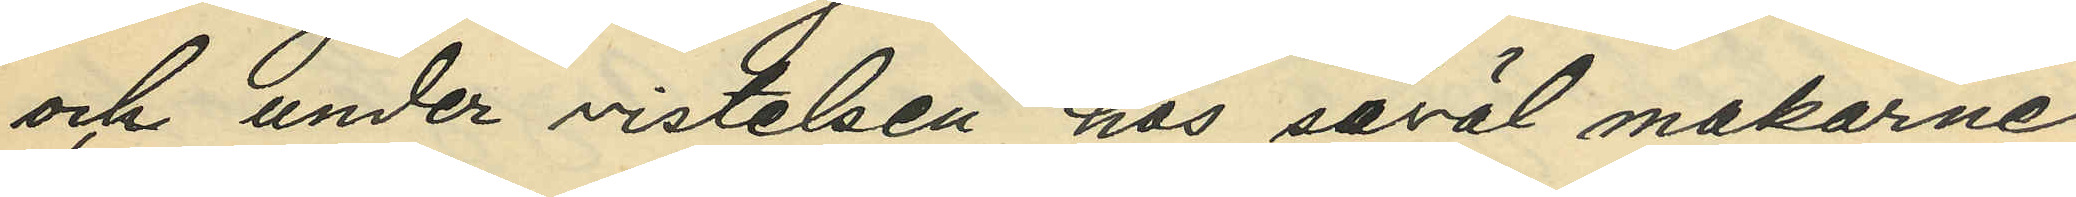och under vistelsen hos såväl makarne
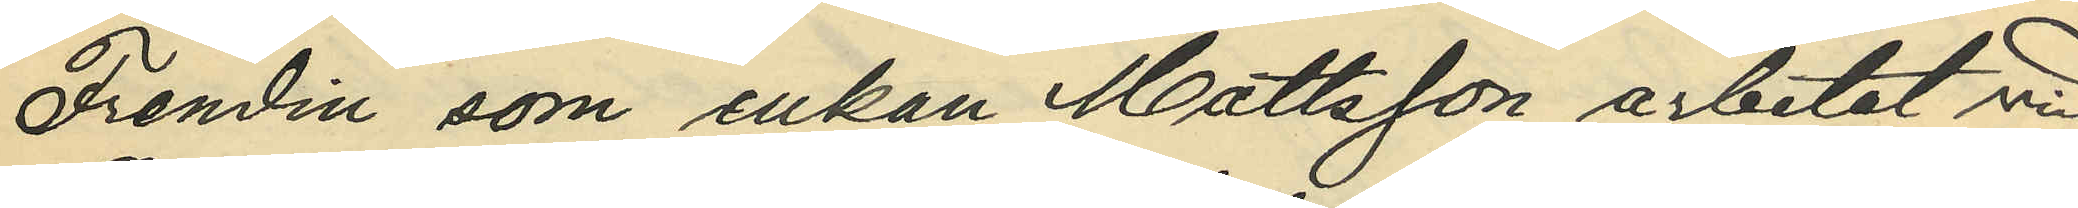Frendin som enkan Mattsson arbetat vid
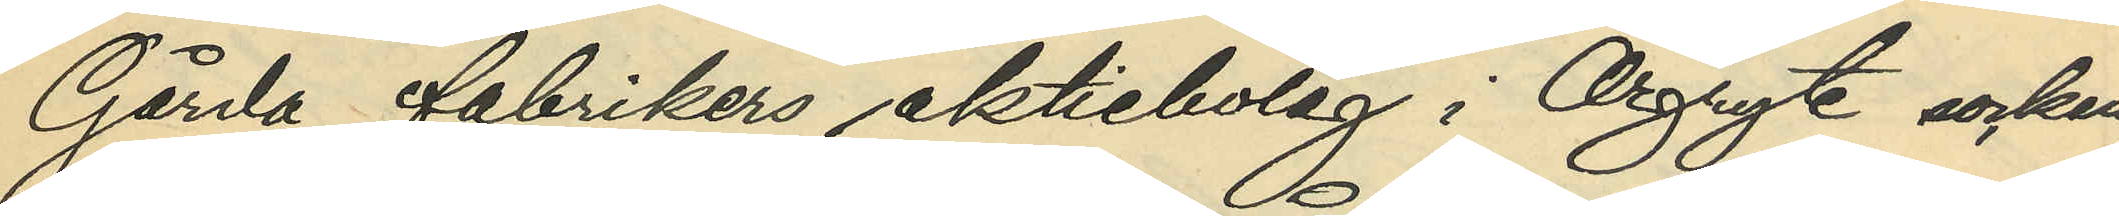Gårda fabrikers aktiebolag i Örgyte socken;
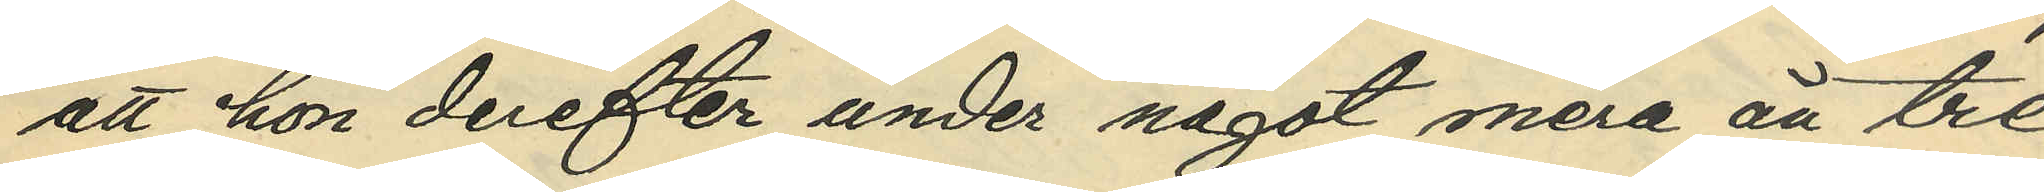att hon derefter under något mera än tre
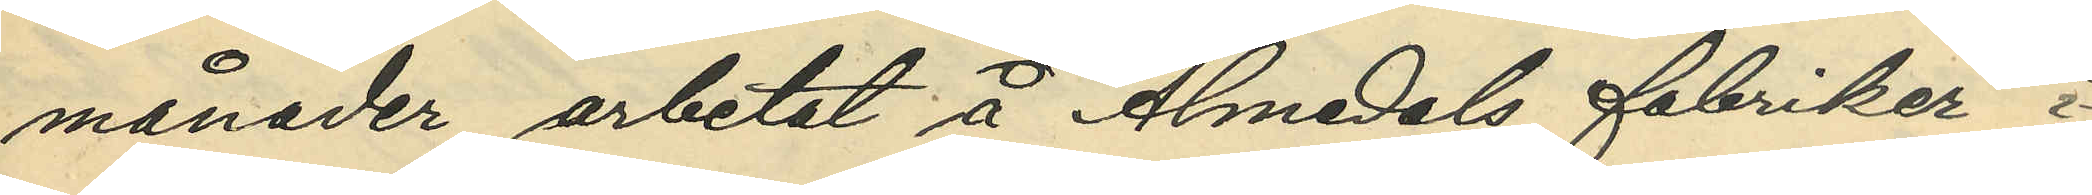månader arbetat å Almedals fabriker i
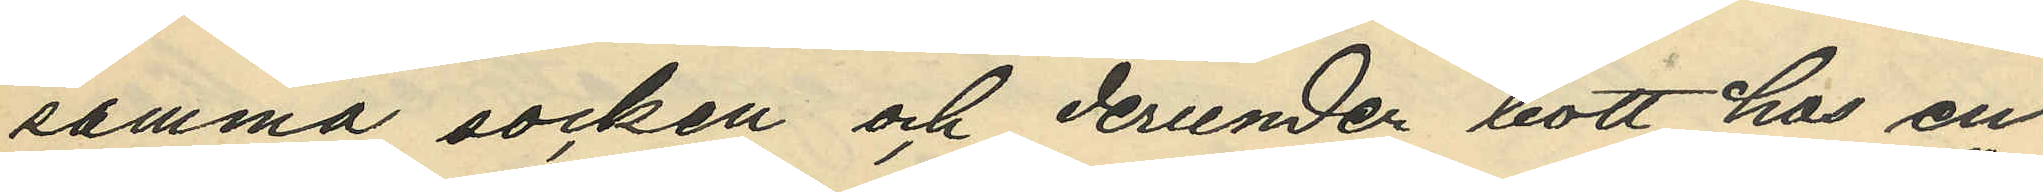samma socken och derunder bott hos en
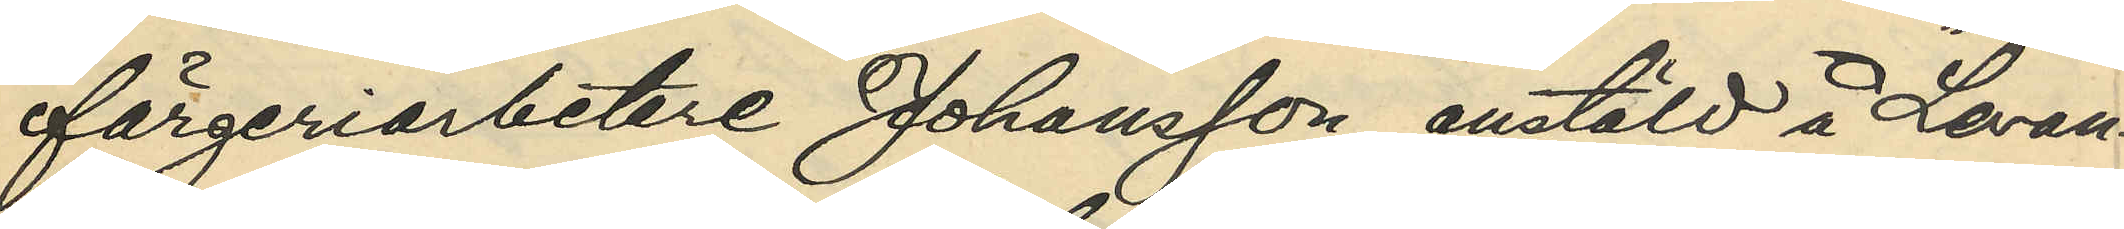färgeriarbetare Johansson, anstäld å "Levan¬
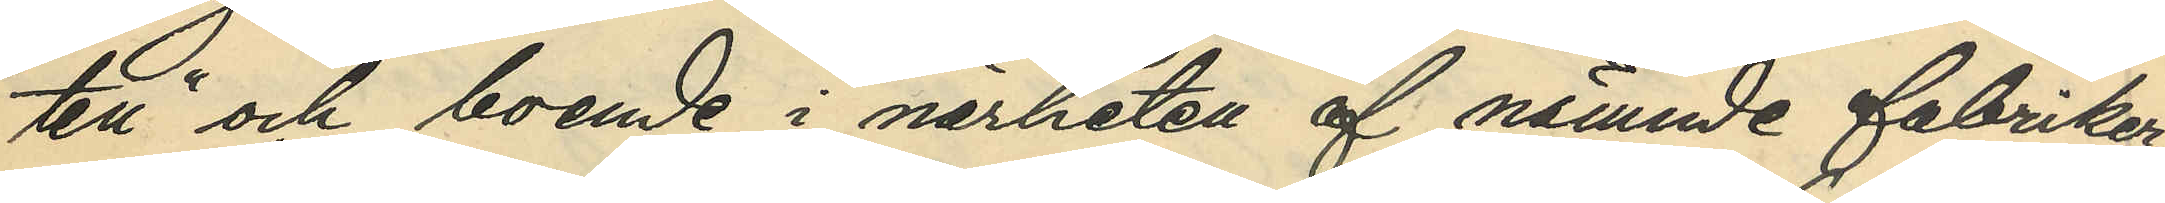ten" och boende i närheten af nämnde fabriker;
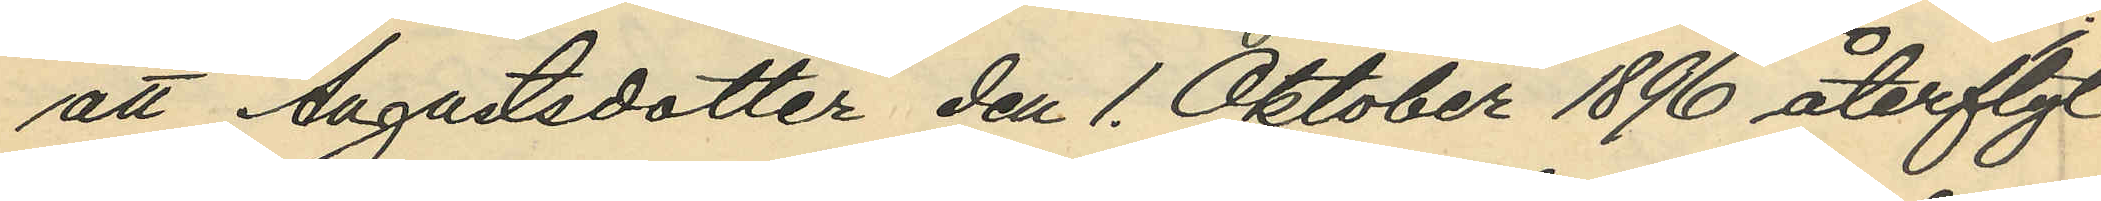att Augustsdotter den 1 Oktober 1896 återflyt¬
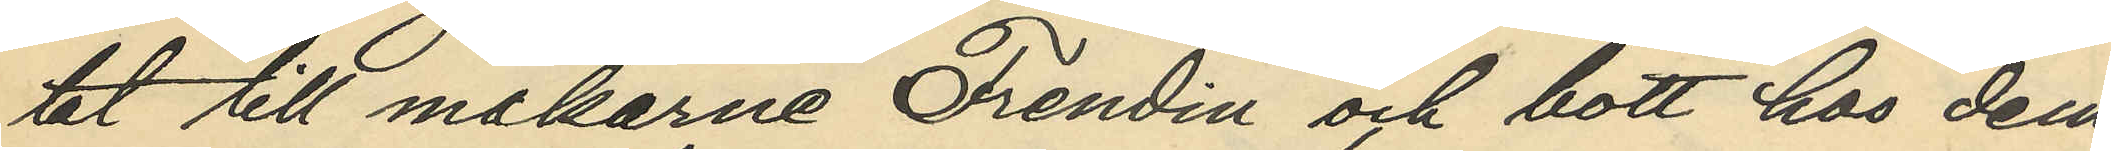tat till makarne Frendin och bott hos dem
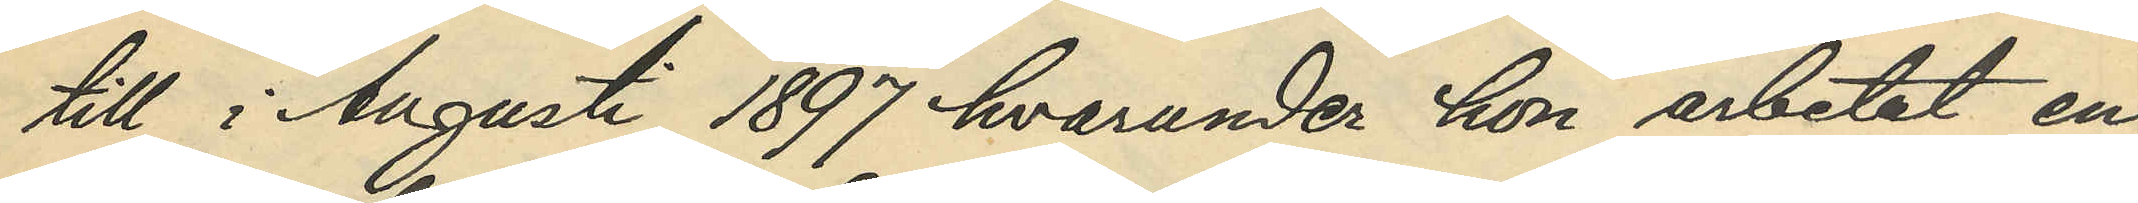till i Augusti 1897 hvarunder hon arbetat en
